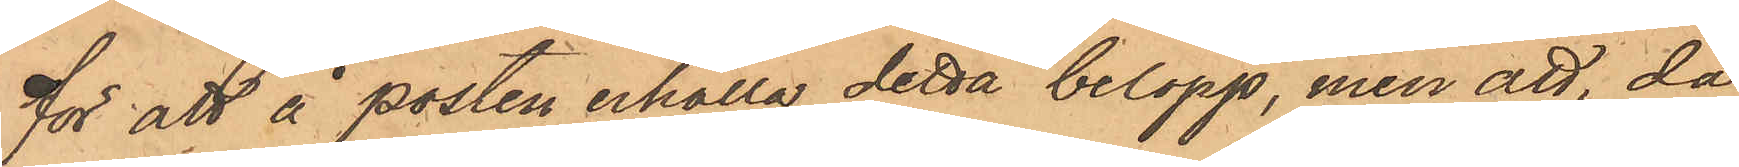för att å posten erhålla detta belopp, men att, då
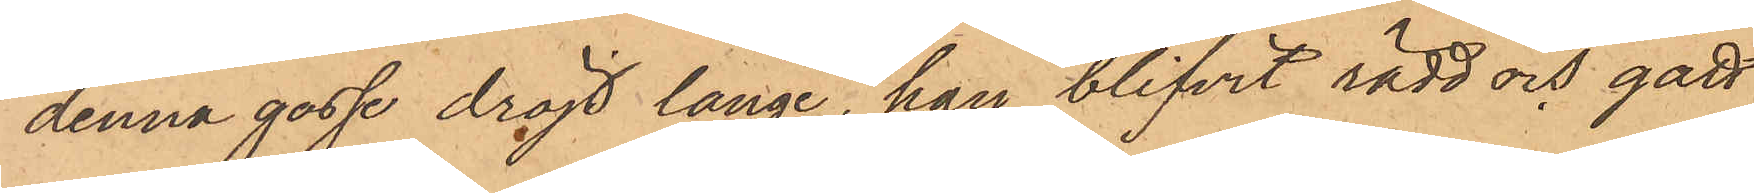denna gosse dröjt länge, han blifvit rädd och gått
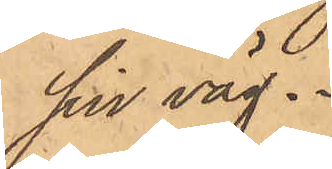sin väg.
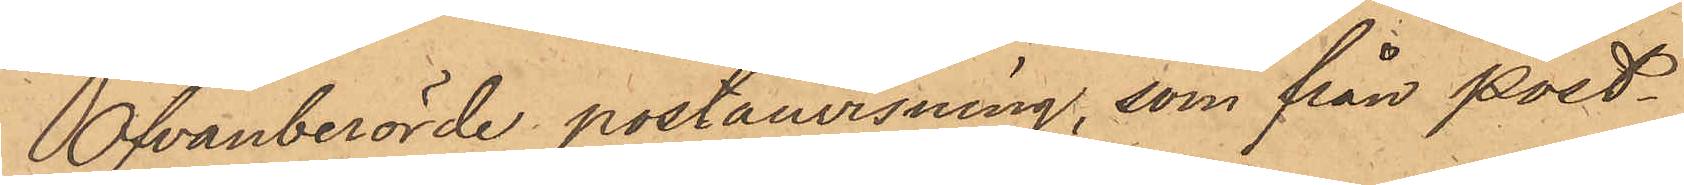Ofvanberörde postanvisning, som från post¬
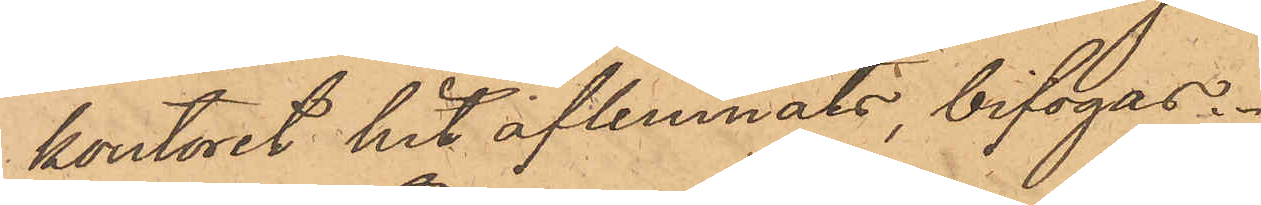kontoret hit aflemnats, bifogas.
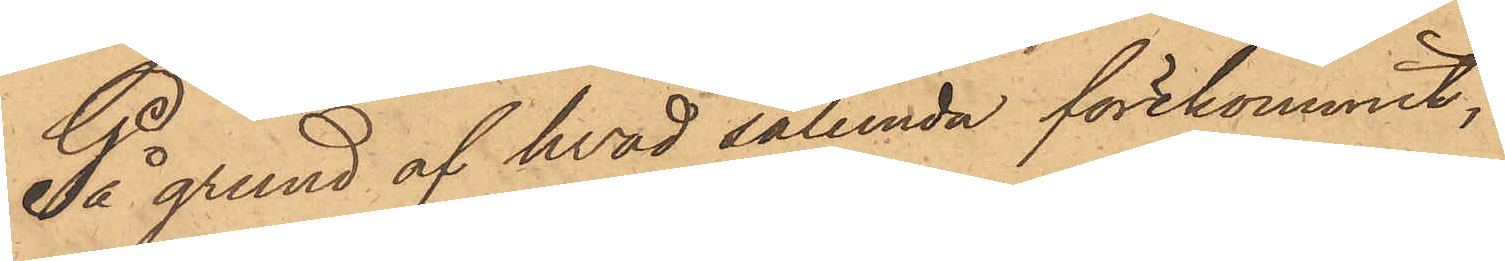På grund af hvad sålunda förekommit,
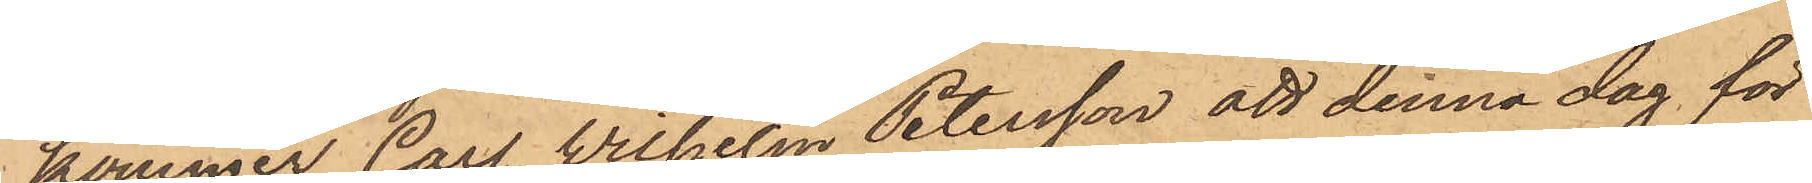kommer Carl Wilhelm Petersson att denna dag för
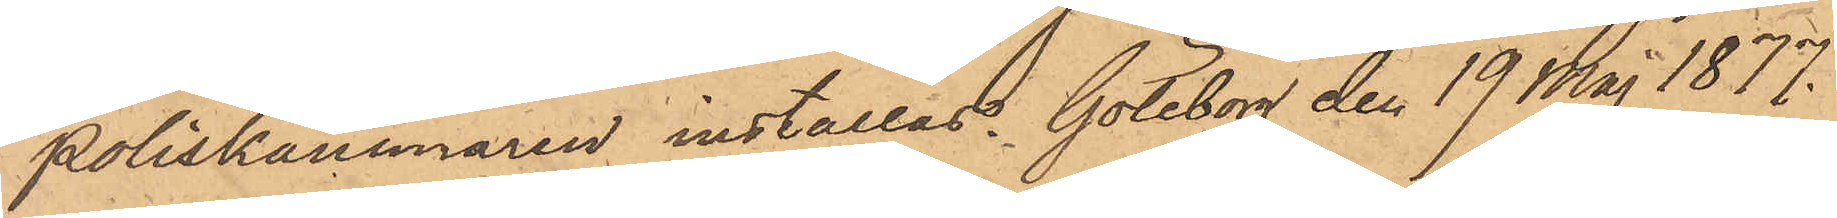Poliskammaren inställas. Göteborg den 19 Maj 1877.
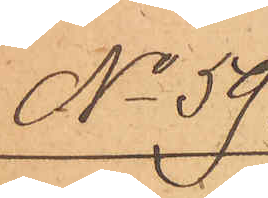No 59
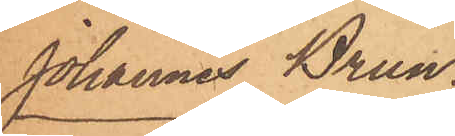Johannes Brun.
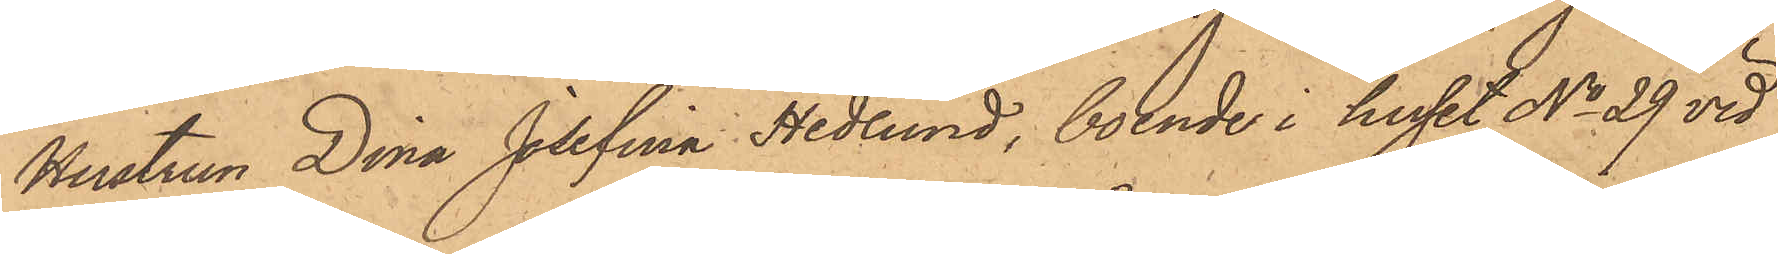Hustrun Dina Josefina Hedlund, boende i huset No 29 vid
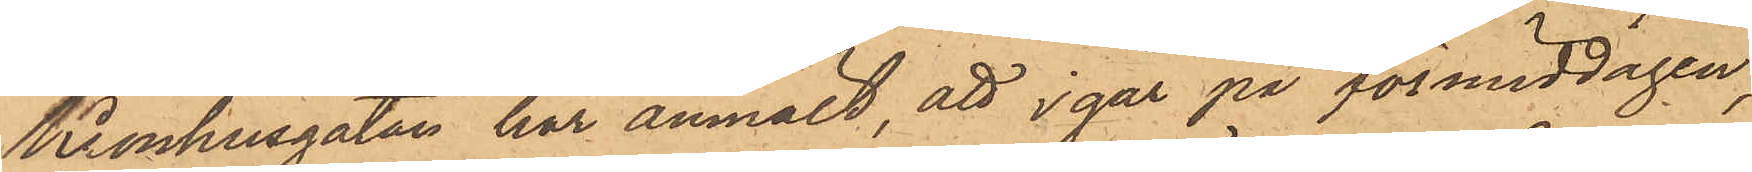Kronhusgatan har anmält, att i går på förmiddagen,
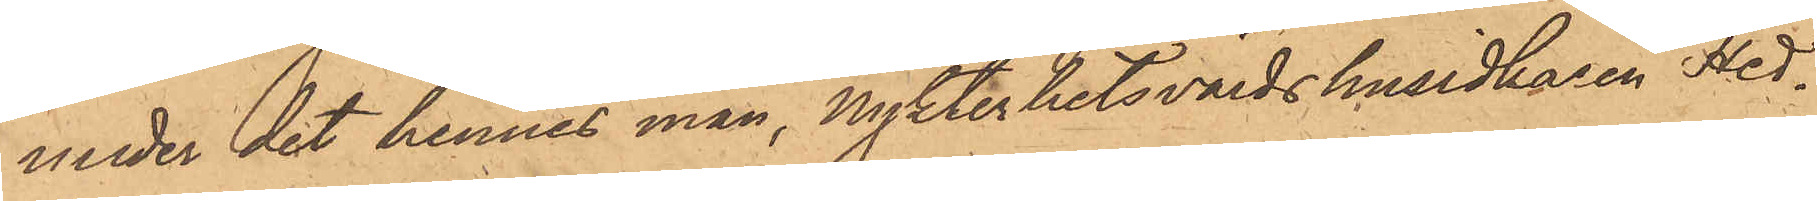under det hennes man, Nykterhetsvärdshusidkaren Hed¬
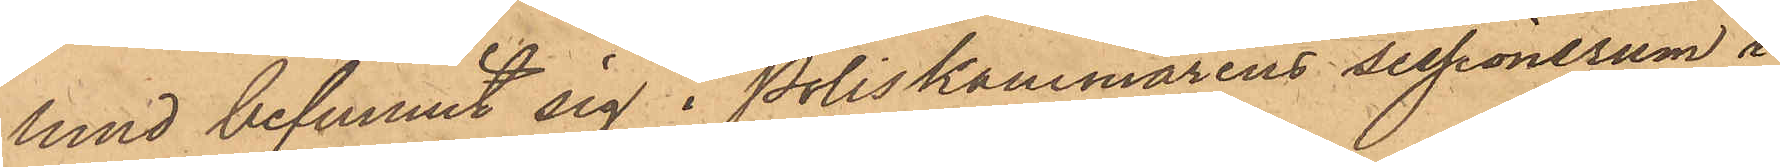lund befunnit sig i Poliskammarens sessionsrum i
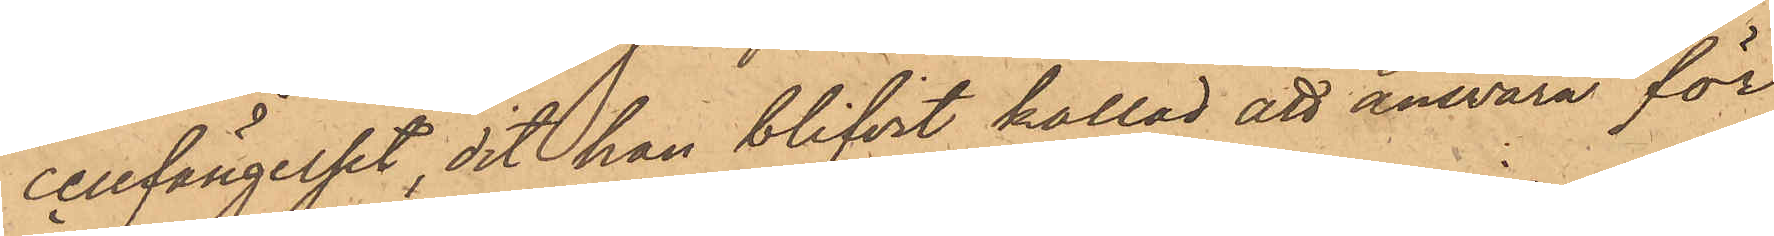cellfängelset, dit han blifvit kallad att ansvara för
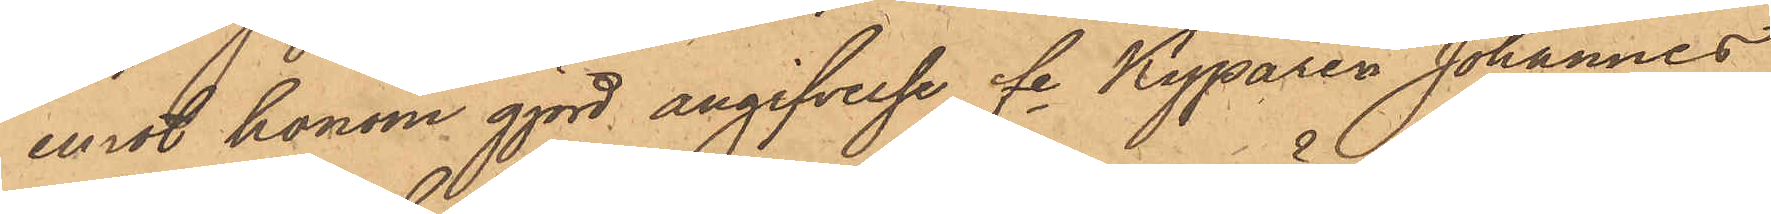emot honom gjord angifvelse fe Kyparen Johannes
